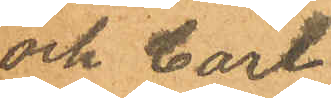och Carl
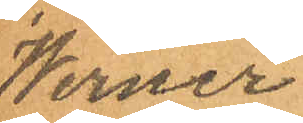Werner
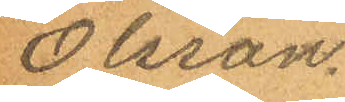Olsson.
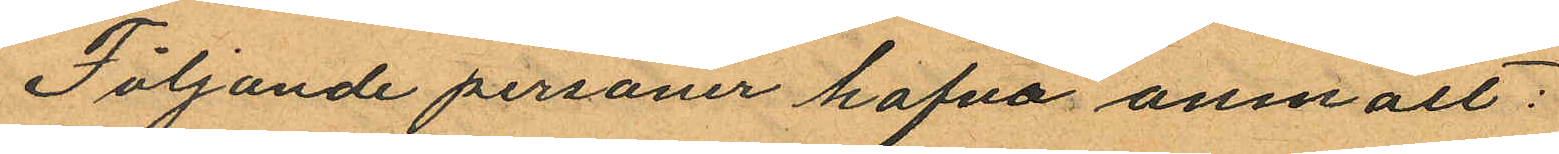Följande personer hafva anmält:
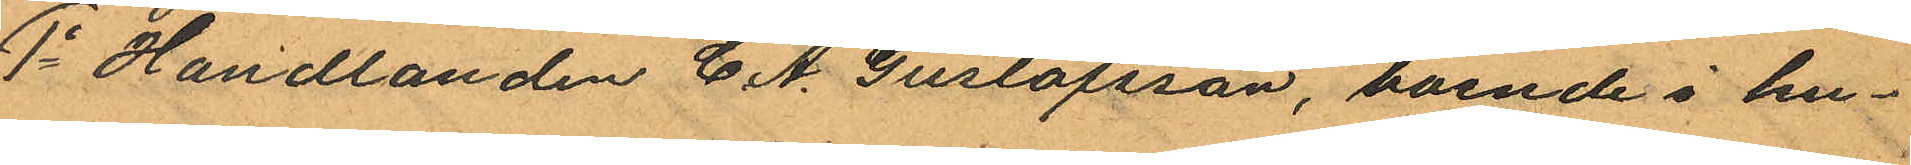1o Handlanden C. A. Gustafsson, boende i hu¬
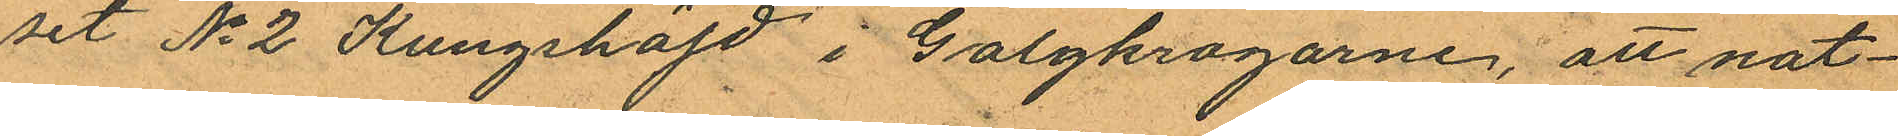set No 2 Kungshöjd i Galgkrogarne; att nat¬
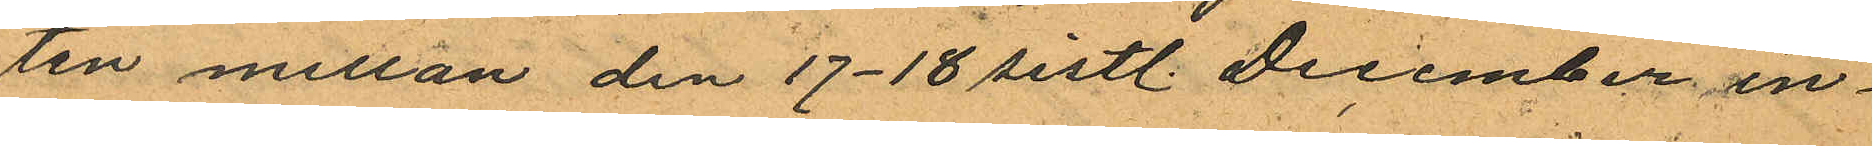ten mellan den 17-18 sistl. December in¬
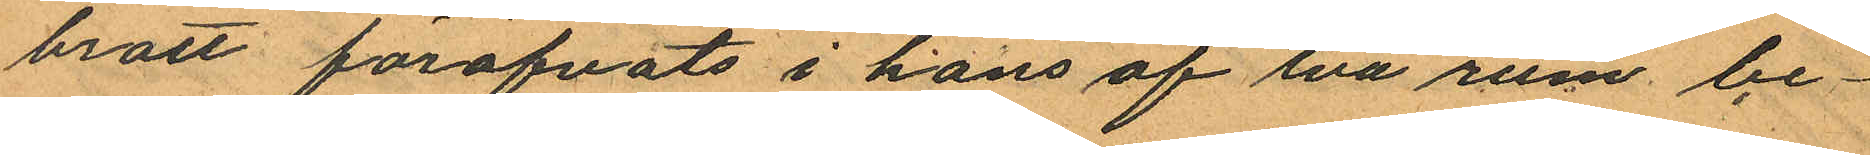brott föröfvats i hans af två rum be¬
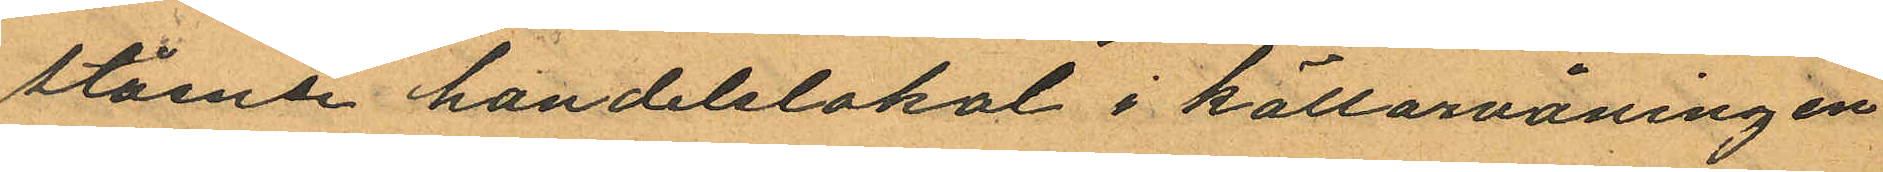stående handelslokal i källarvåningen
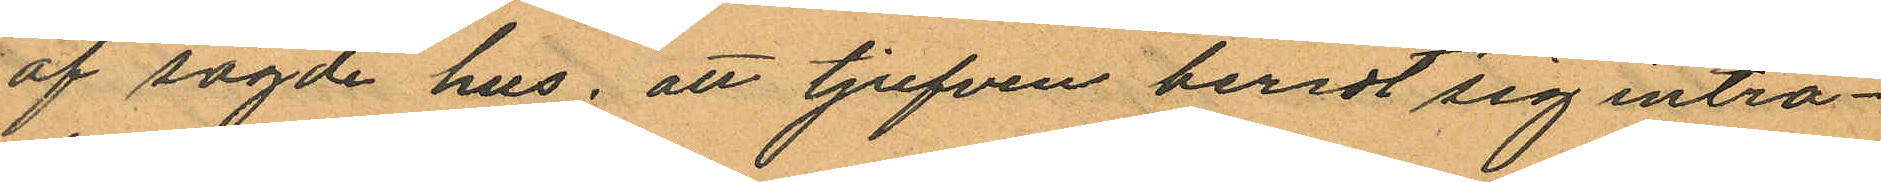af sagde hus, att tjufven beredt sig inträ¬
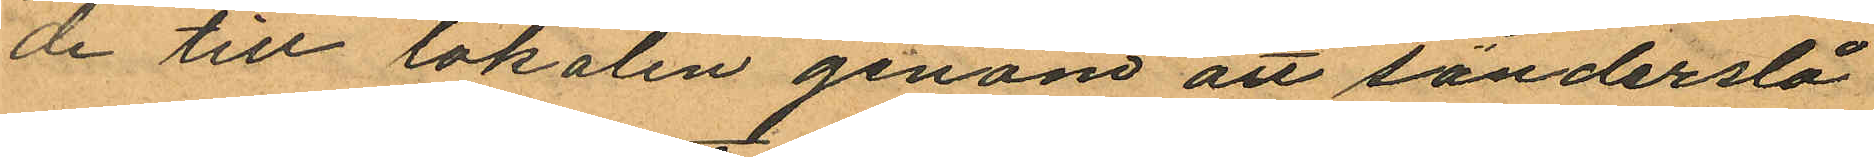de till lokalen genom att sönderslå
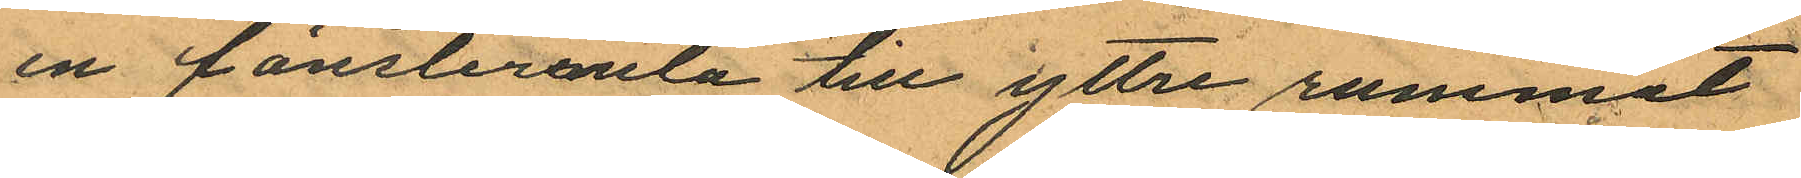en fönsterruta till yttre rummet
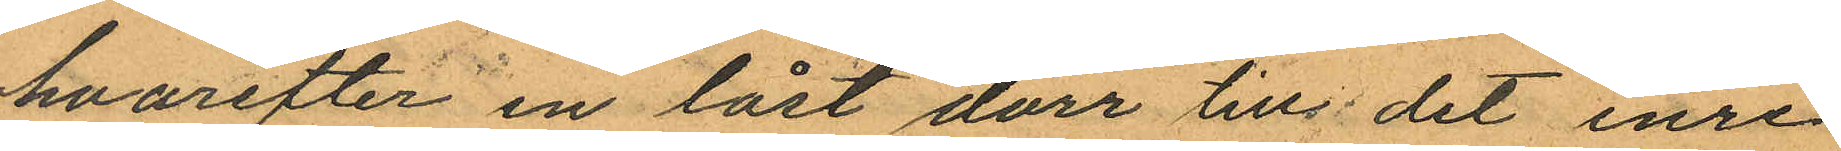hvarefter en låst dörr till det inre
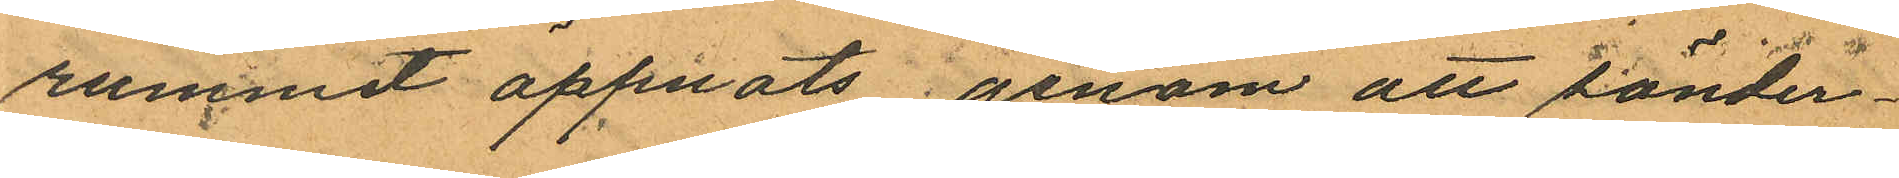rummet öppnats genom att sönder¬
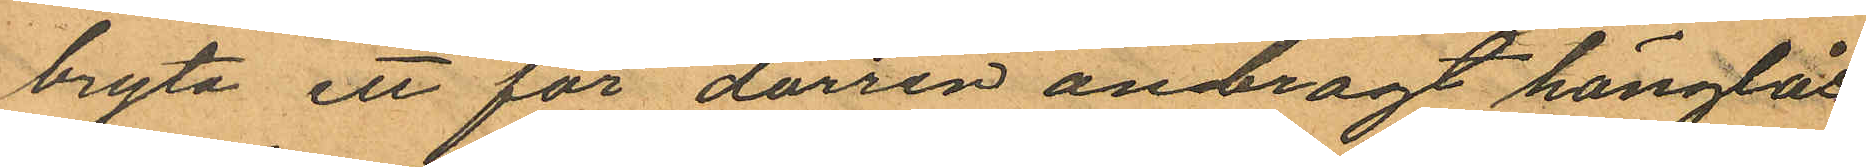bryta ett för dörren anbragt hänglås
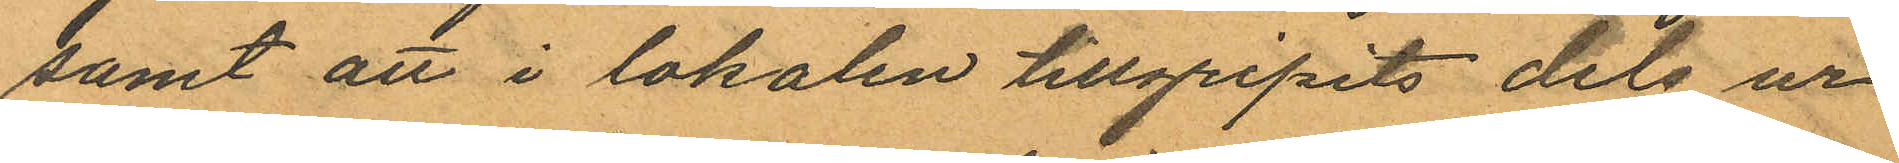samt att i lokalen tillgripits dels ur
